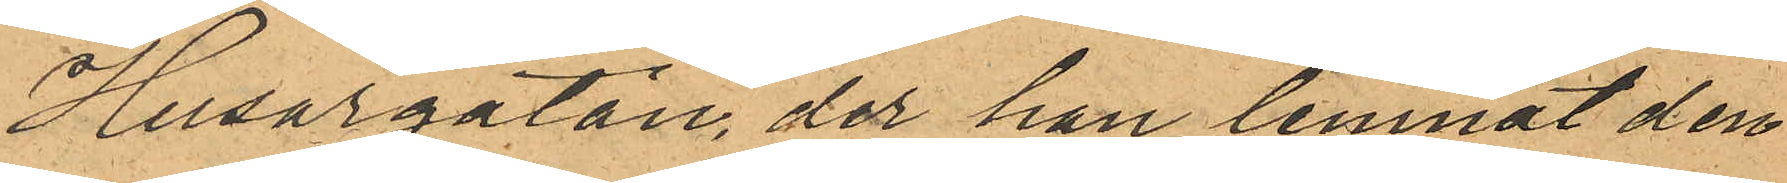Husargatan, der han lemnat den
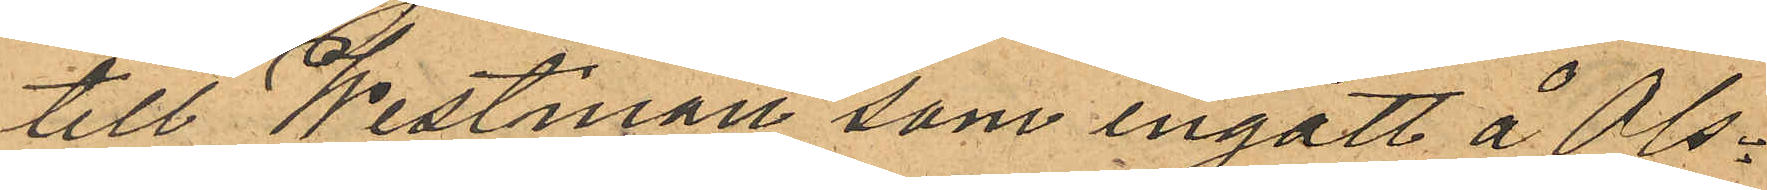till Westman som ingått å Ols¬
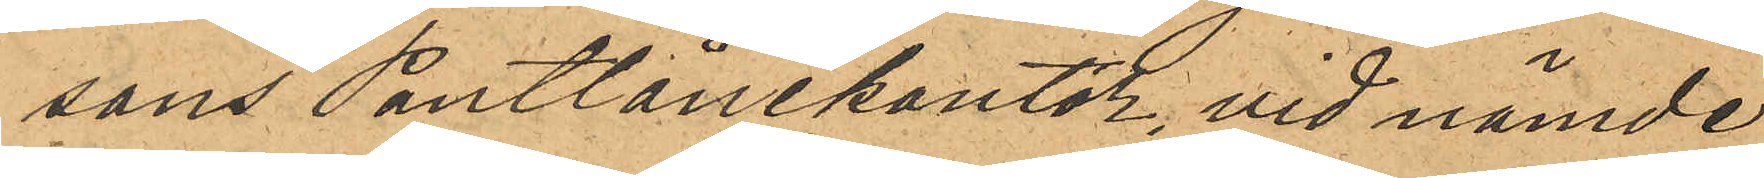sons Pantlånekontor, vid nämde
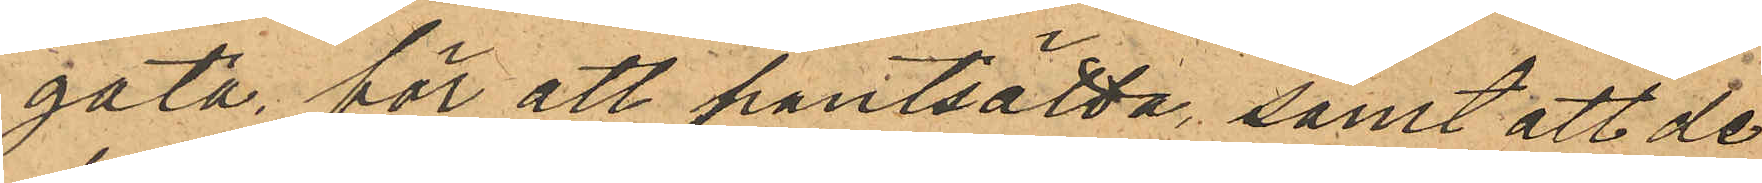gata, för att pantsätta, samt att de
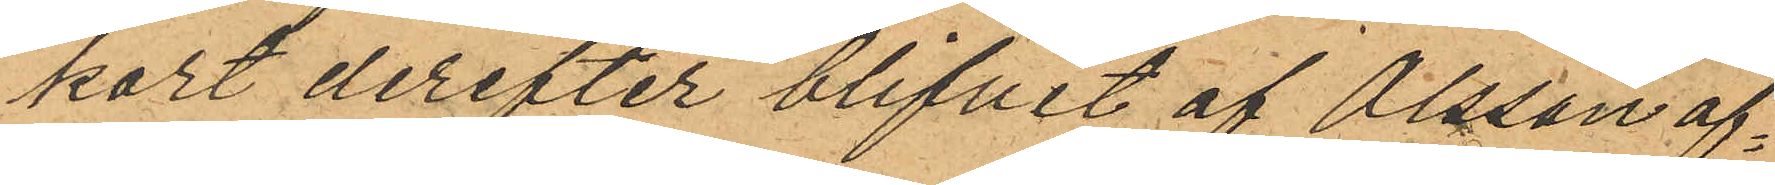kort derefter blifvit af Olsson af¬
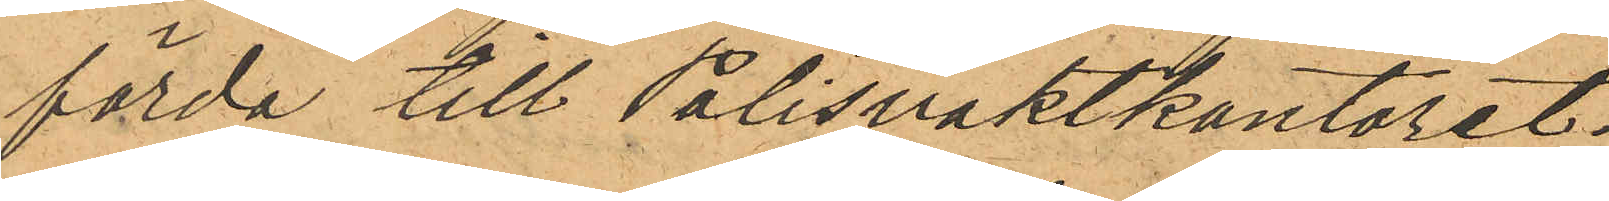förda till Polisvaktkontoret;
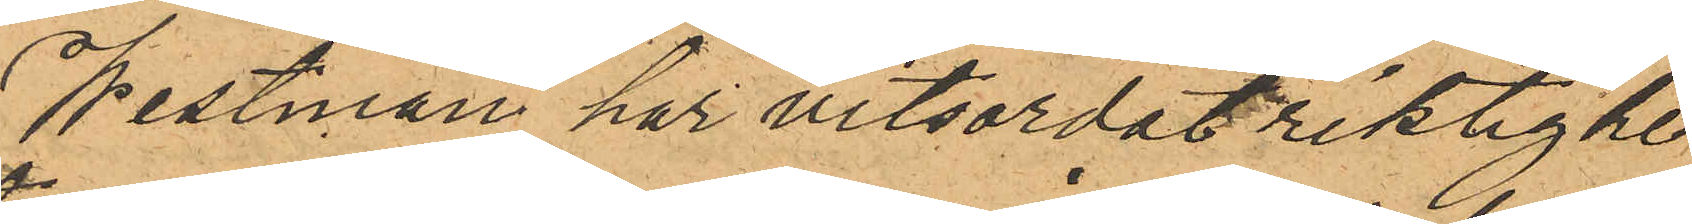Westman har vitsordat riktighe¬
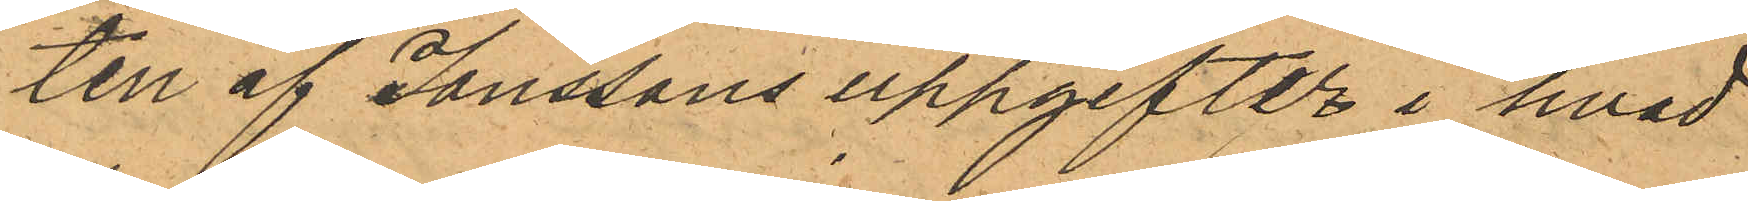ten af Jonssons uppgifter i hvad
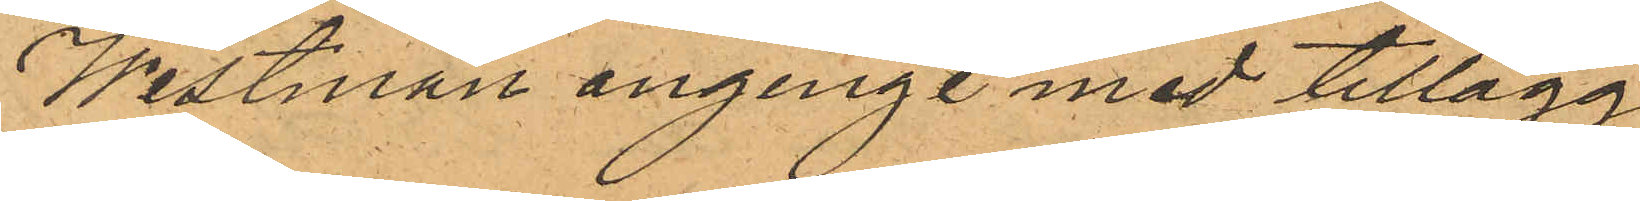Westman anginge med tillägg
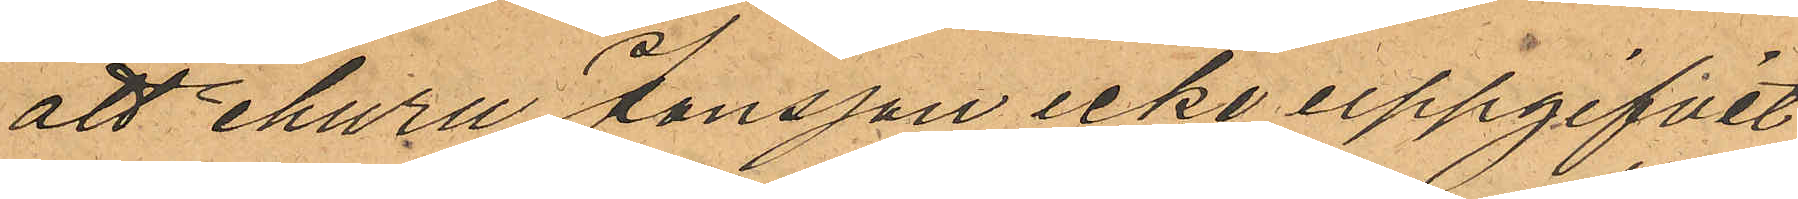att ehuru Jonsson icke uppgifvit
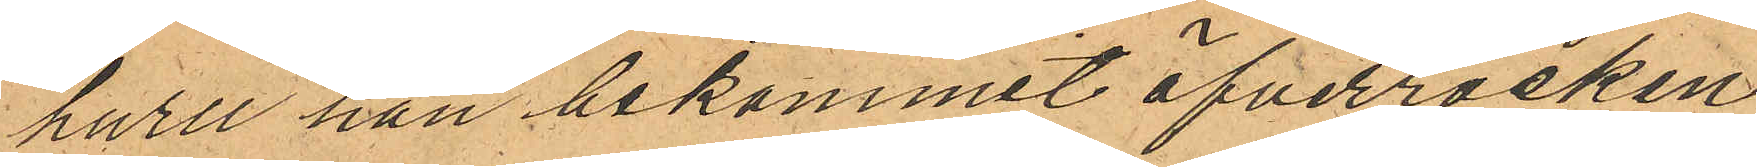huru han bekommit öfverrocken
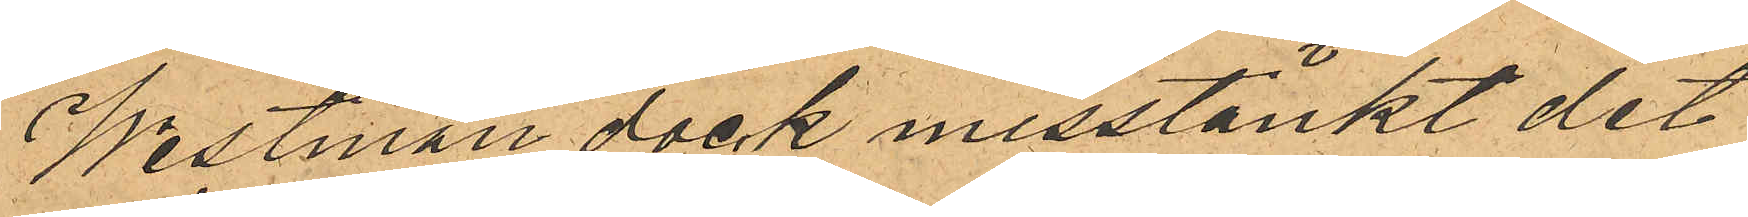Westman dock misstänkt det
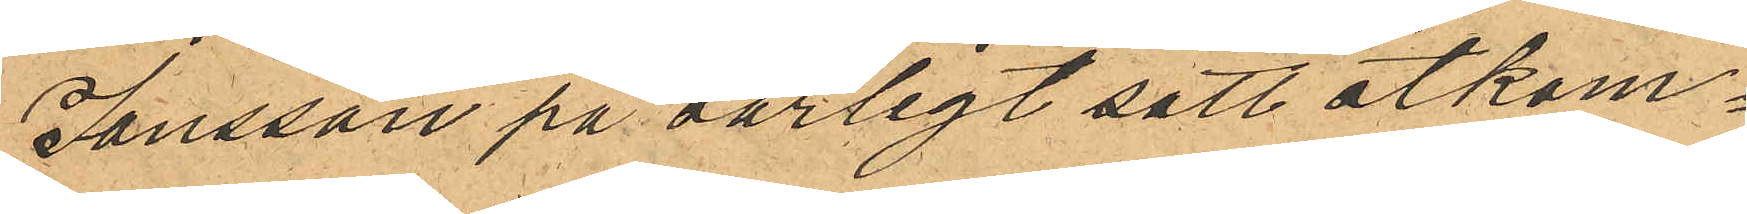Jonsson på oärligt sätt åtkom¬
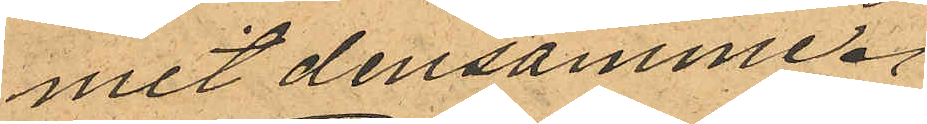mit densamme.
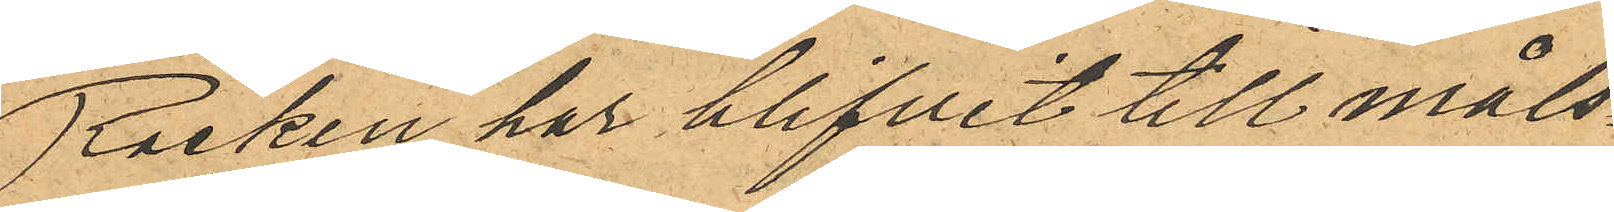Rocken har blifvit till måls¬
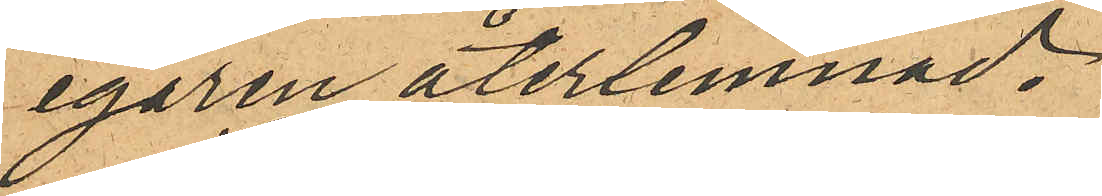egaren återlemnad.
